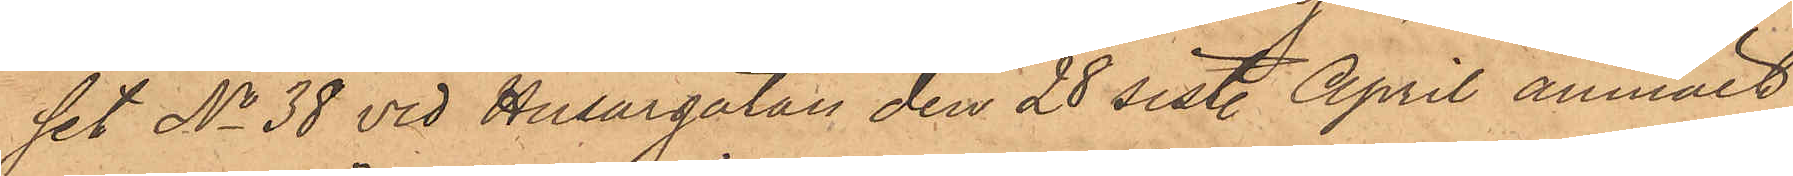set No 38 vid Husargatan den 28 sist. April anmält,
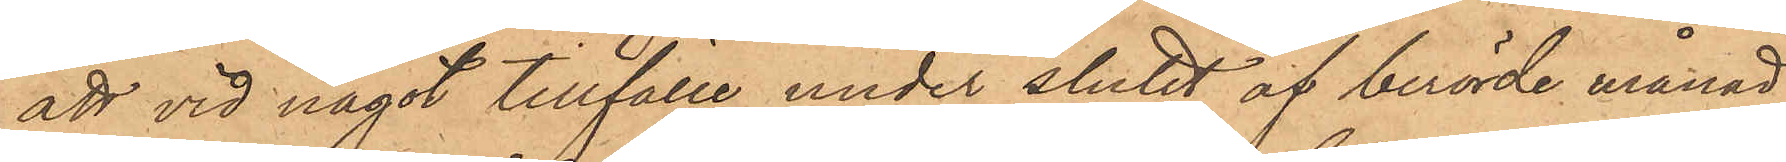att vid något tillfälle under slutet af berörde månad
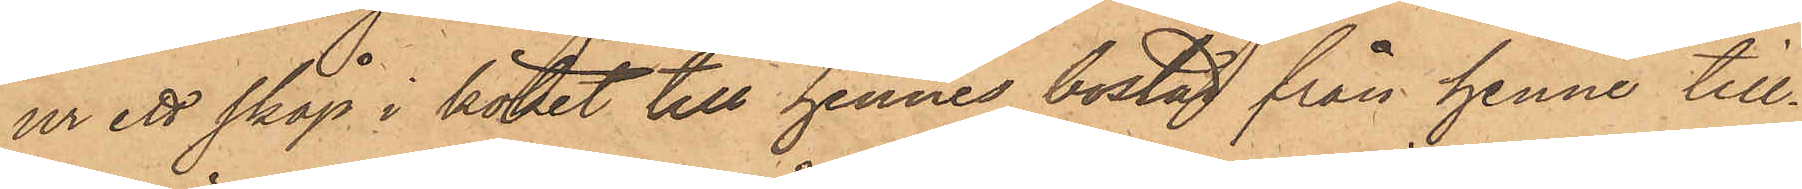ur ett skåp i köket till hennes bostad från henne till¬
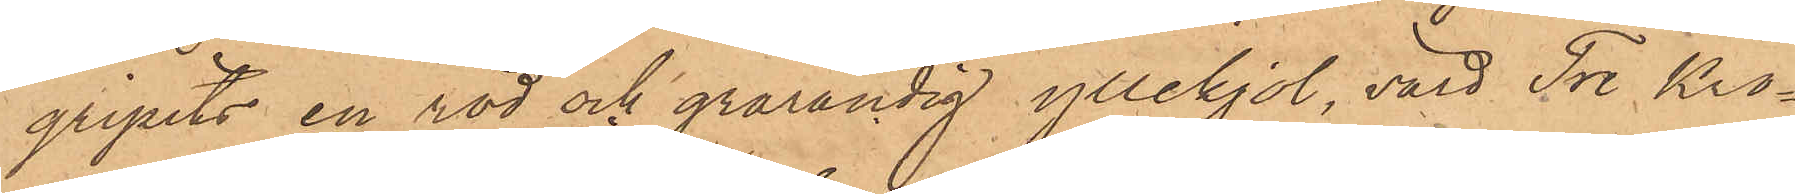gripits en röd och grårandig yllekjol, värd Tre Kro¬
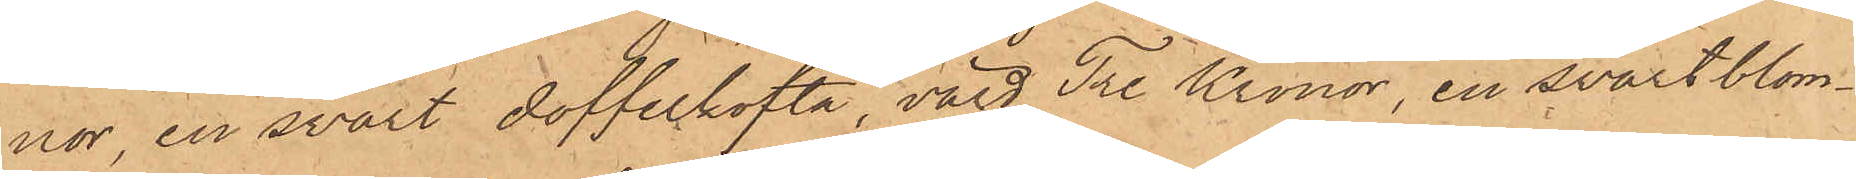nor, en svart doffelkofta, värd Tre Kronor, en svart blom¬
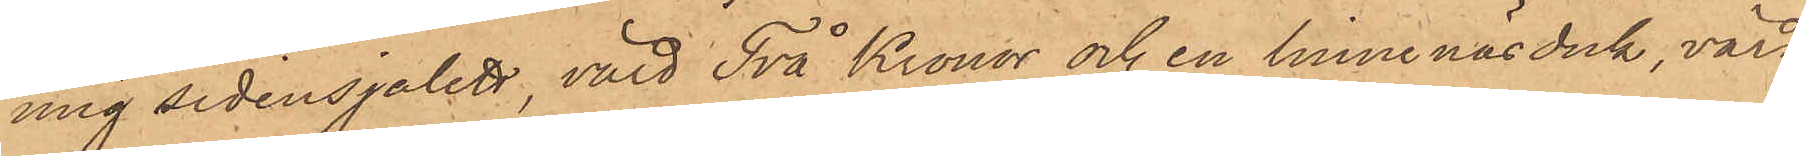mig sidensjalett, värd Två Kronor och en linne näsduk, värd
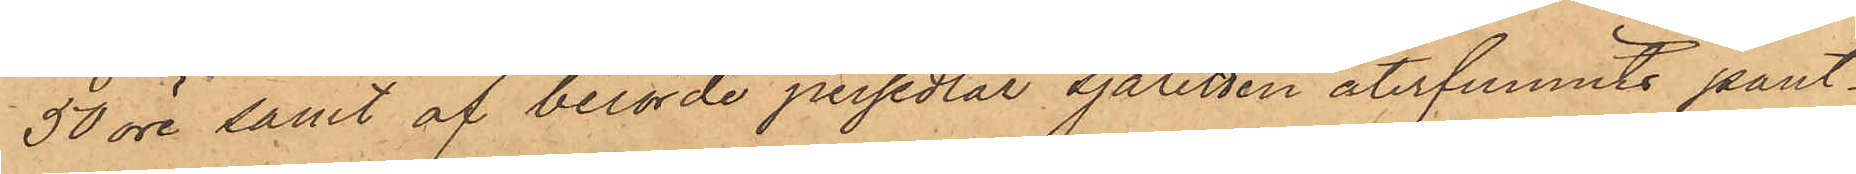50 öre samt af berörde persedlar sjaletten återfunnits pant¬
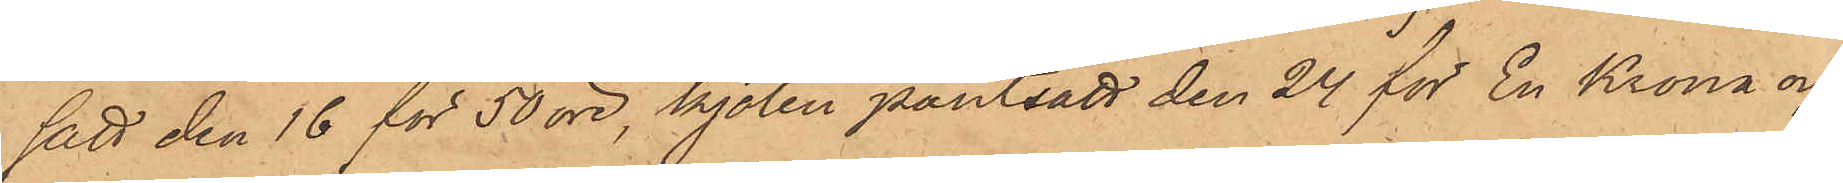satt den 16 för 50 öre, kjolen pantsatt den 24 för En Krona och
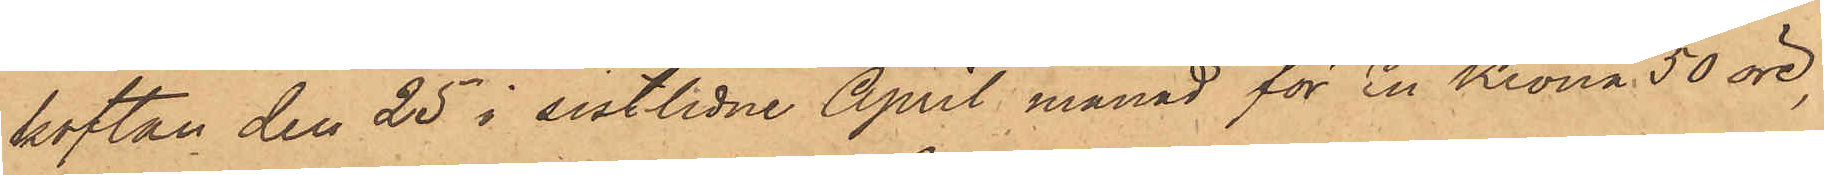koftan den 25 i sistlidne April månad för En Krona 50 öre,
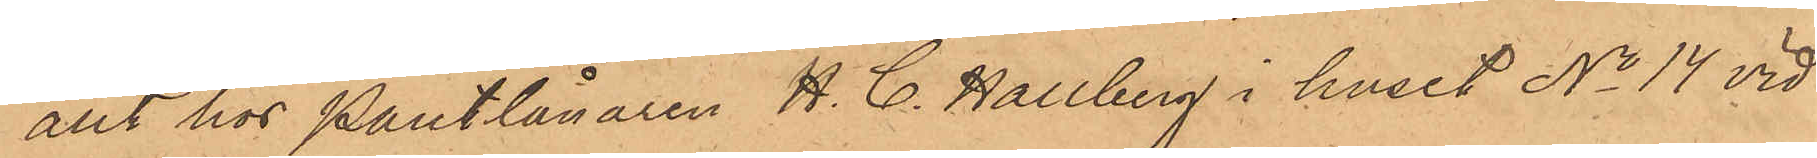allt hos Pantlånaren H. C. Hallberg i huset No 14 vid
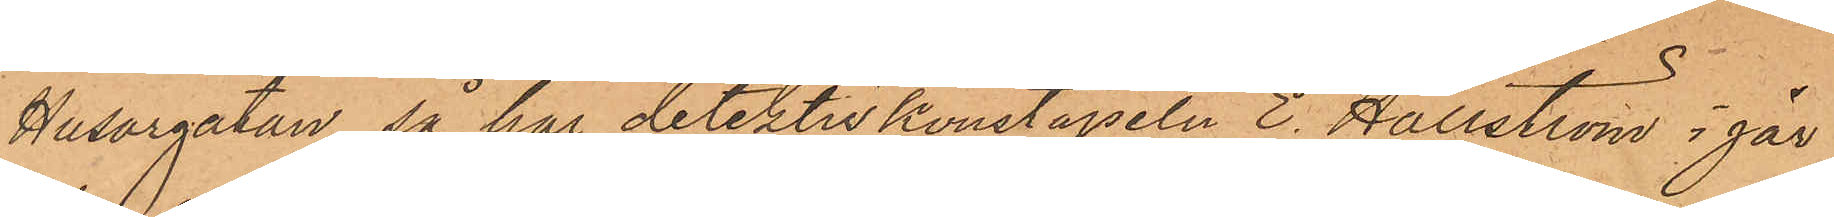Husargatan, så har detektivkonstapeln E. Hällström i går
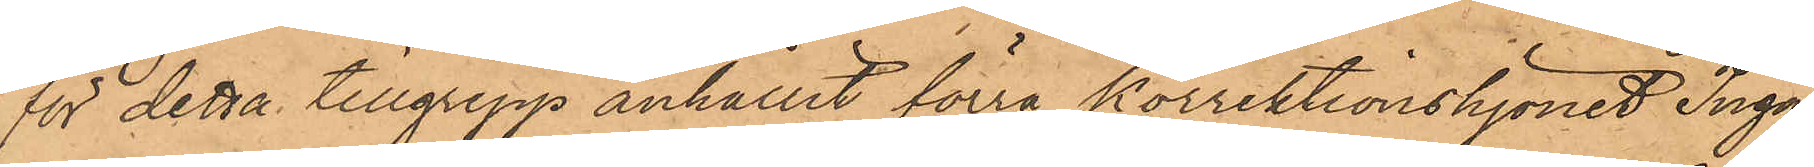för detta tillgrepp anhållit förra korrektionshjonet Inga
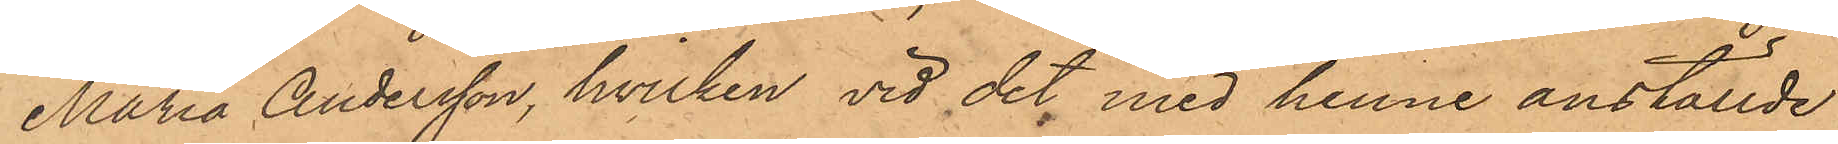Maria Andersson, hvilken vid det med henne anställde
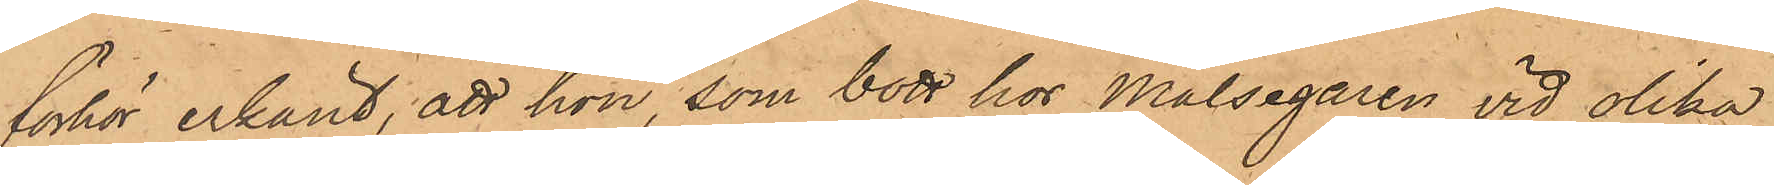förhör erkänt, att hon, som bott hos målsegaren vid olika
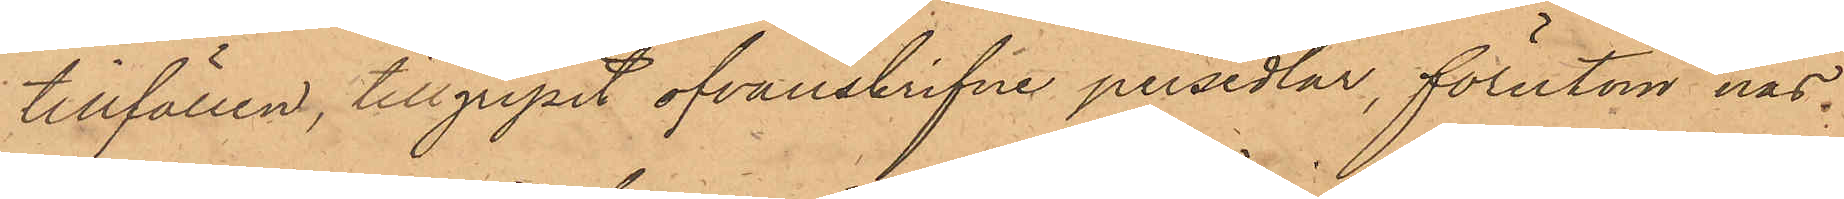tillfällen, tillgripit ofvanskrifne persedlar, förutom näs¬
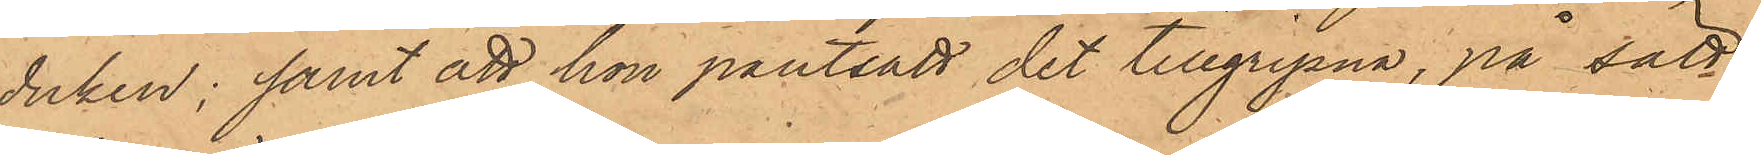duken; samt att hon pantsatt det tillgripna, på sätt
